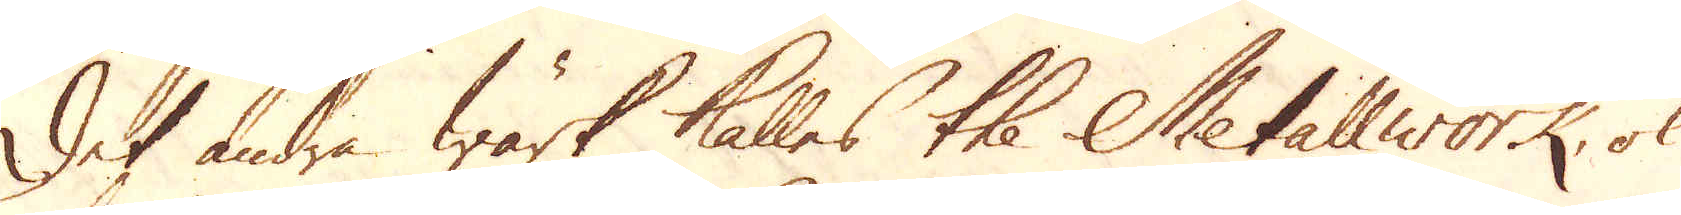Det andra Wärk kalles the Metallwork, ok
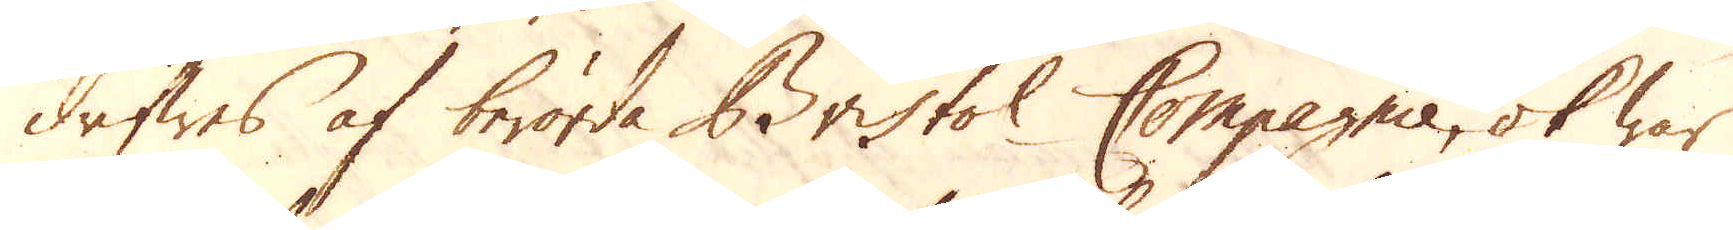drifwes af berörda Bristol Compagnie, ok war
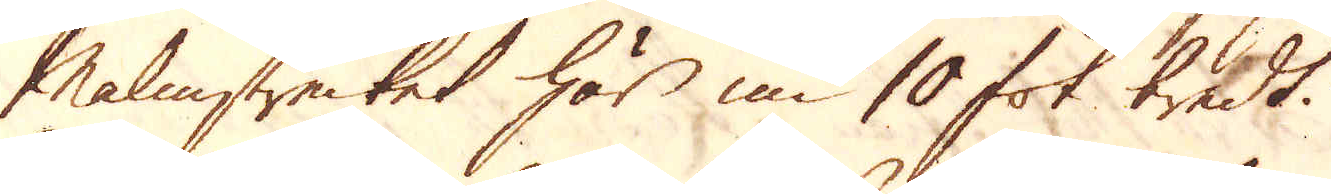Malmstrecket här nu 10 fot bredt.
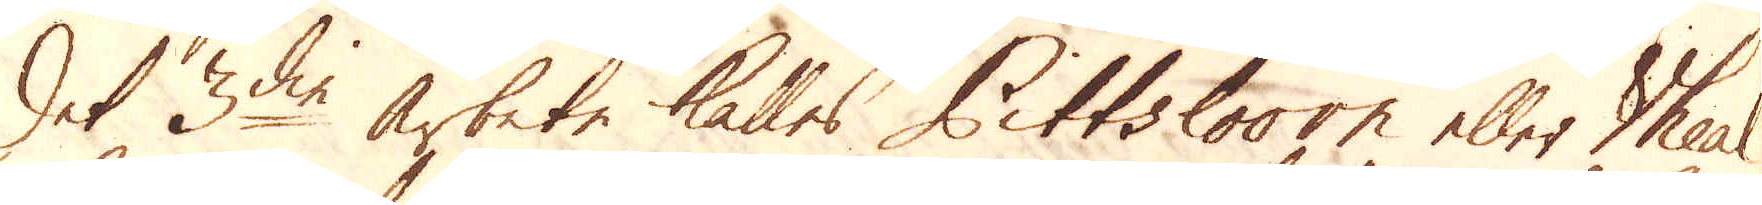Det 3die arbete kalles Pittslooorn eller Vheal
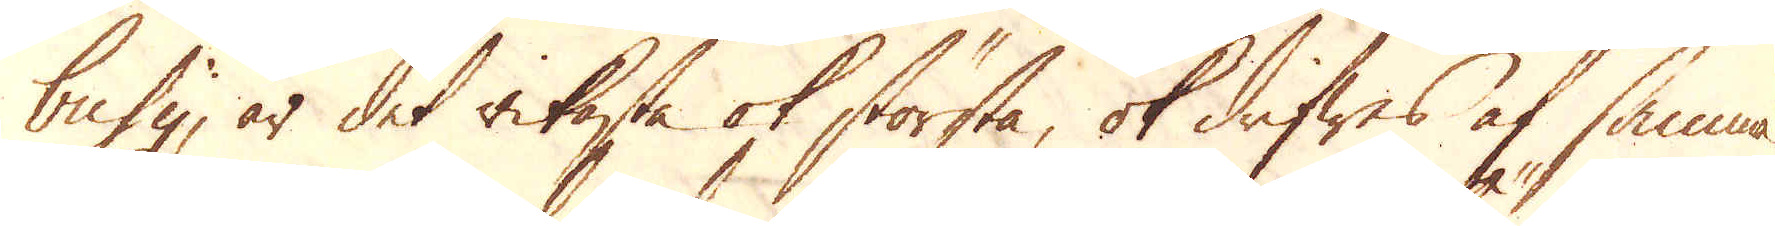busy, är det rikaste ok största, ok drifwes af samma
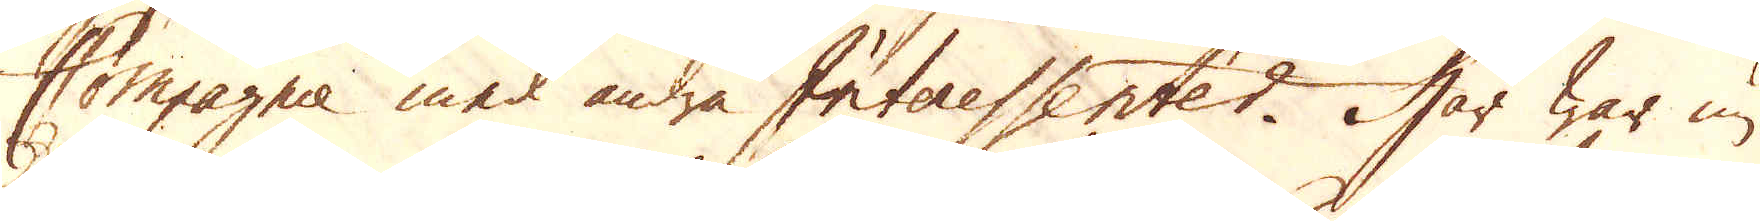Compagnie med andra Interessenter. Här war nu
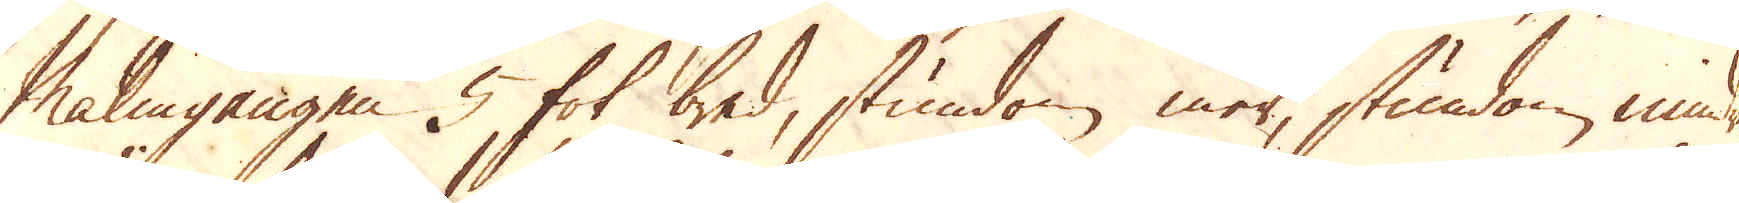Malmgången 5 fot bred, stundom mer, stundom mindre.
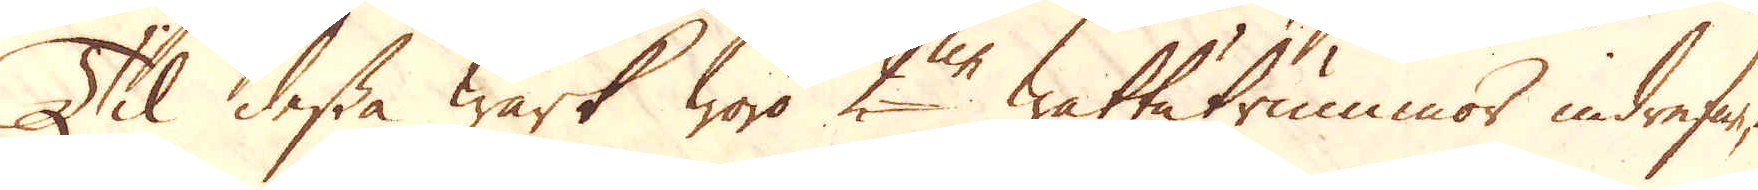Til dessa Wärk woro 2ne wattutrummor indrefne,
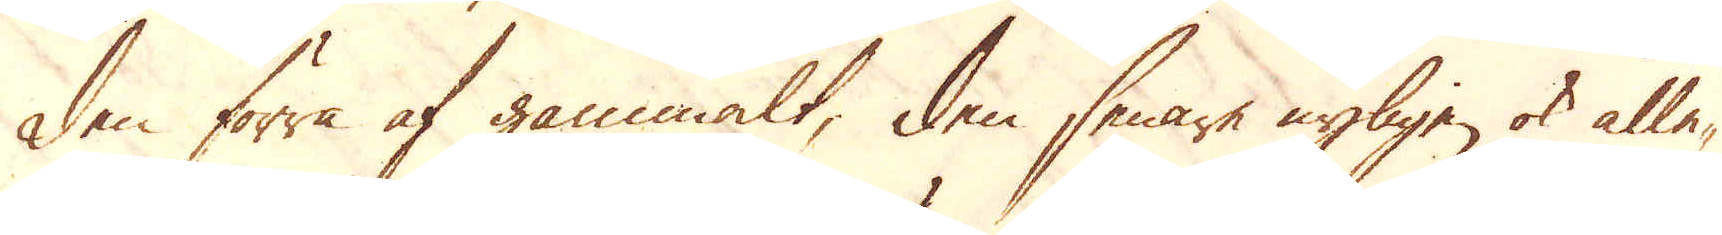den förra af gammalt, den senare nyligen ok alle-
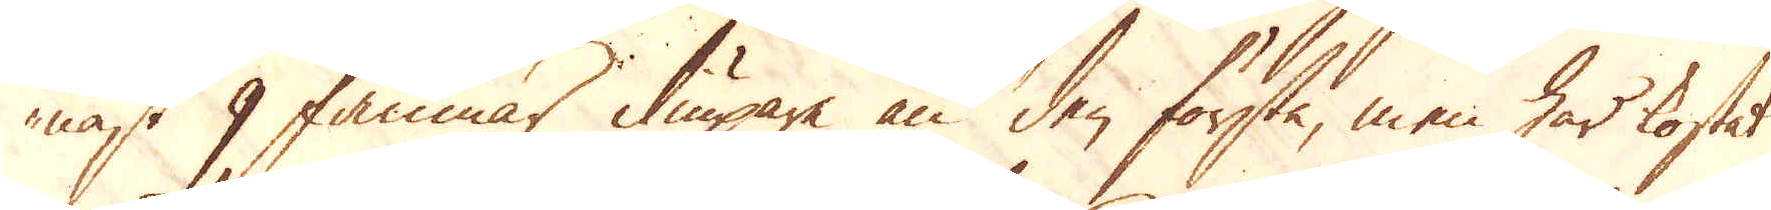nast 9 famnar diupare än den första, men har kostat
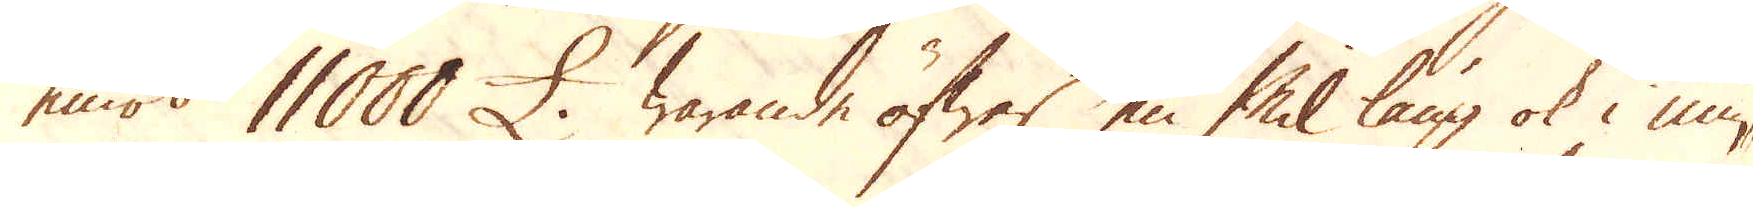emot 11000 £. warande öfwer en Mil lång ok i min-
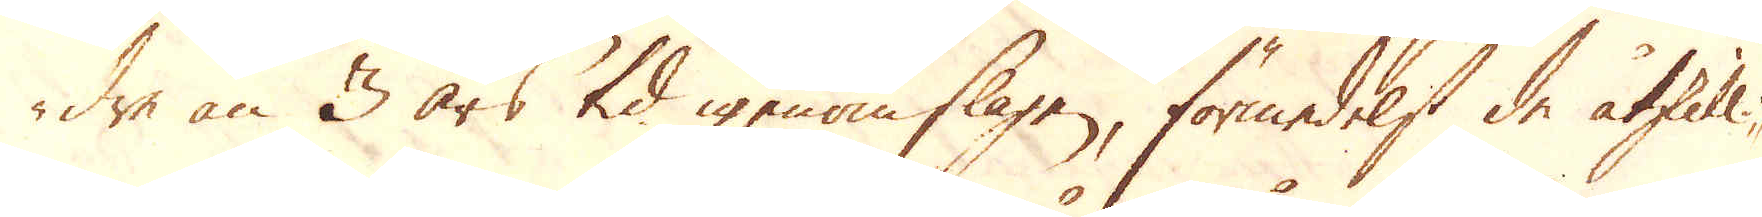dre än 3 års tid igenom slagen, förmedelst de åtskilli-
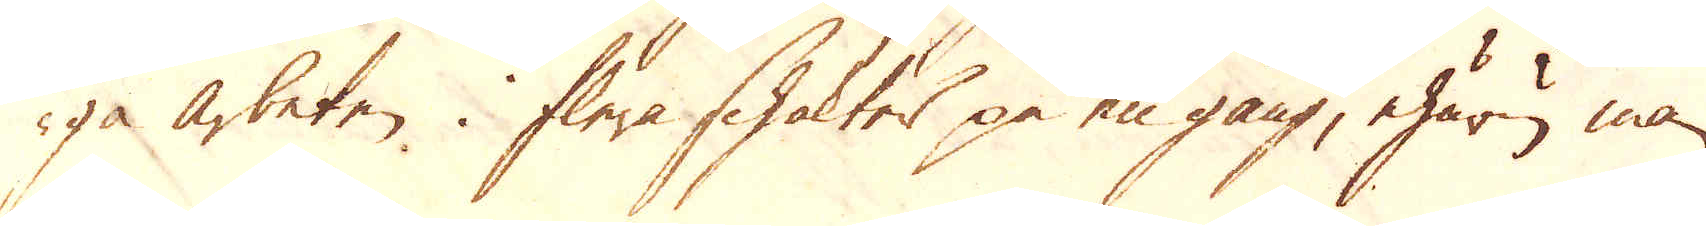ga arbeten i flera schaktes på en gång, ehuru man
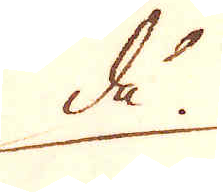då
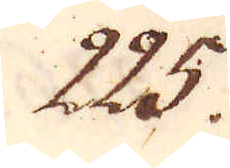225.
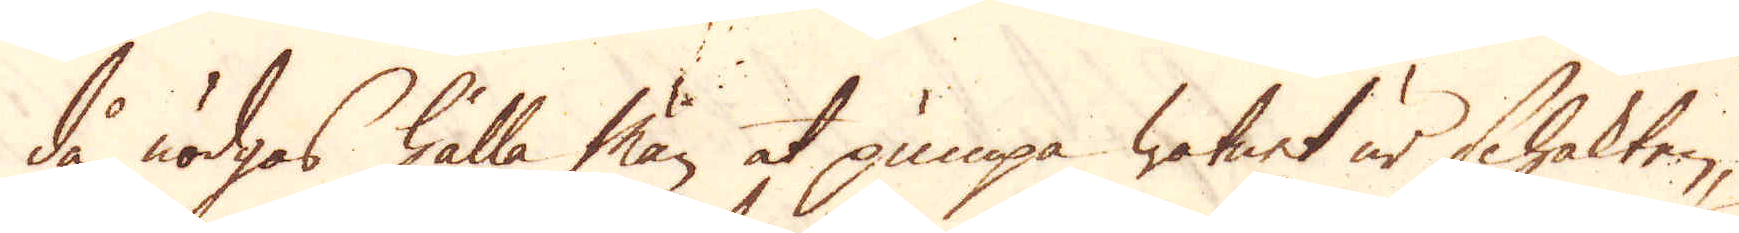då nödgas hålla man at pumpa watnet ur schakten,
